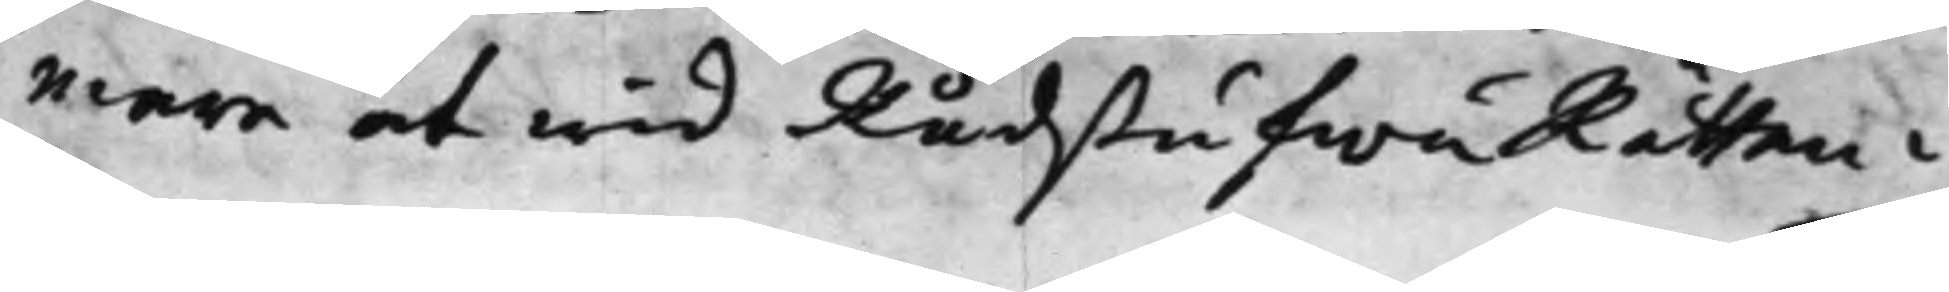mare at wid RådstufwuRätten i
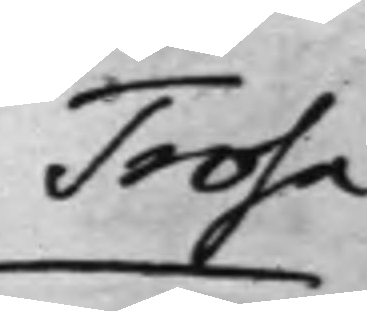Trosa
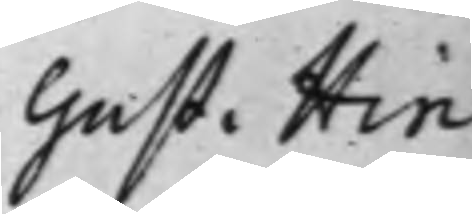Gust. Hin¬
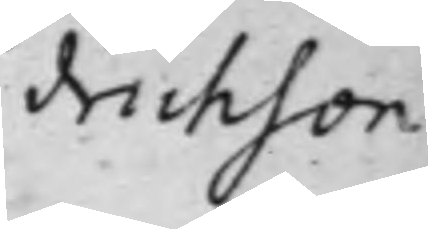drichson
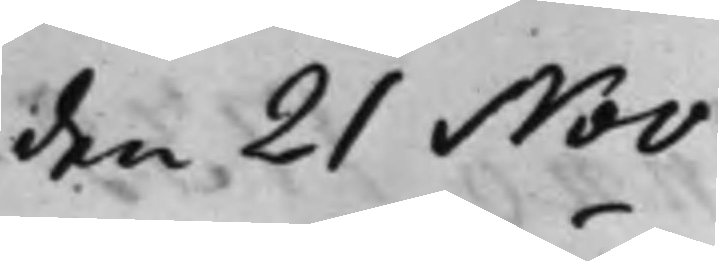den 21 Nov.
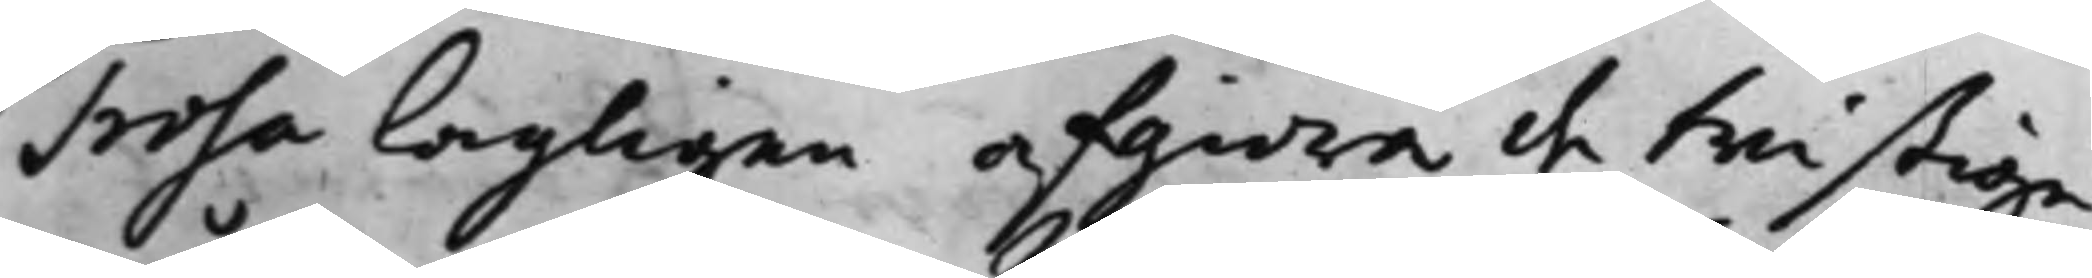Trosa lagligen afgiöra de twistige
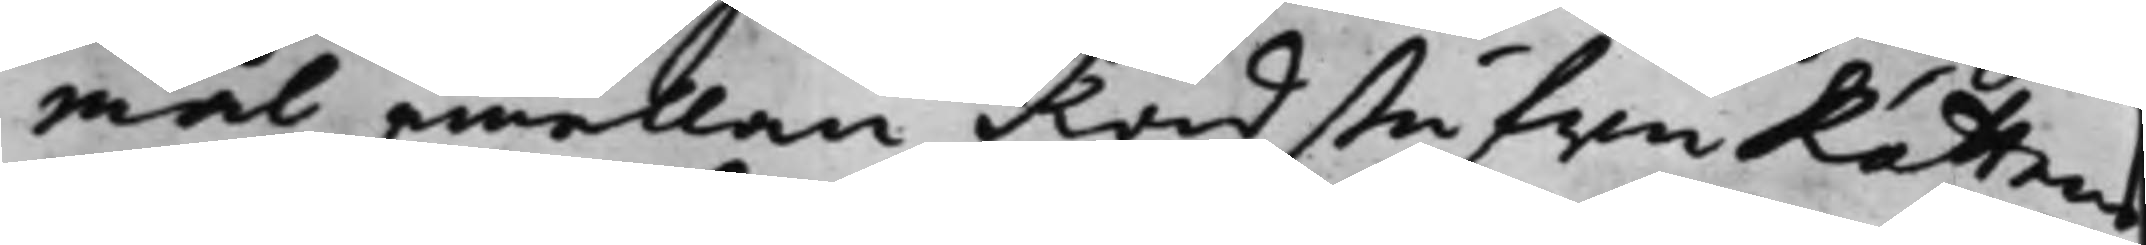mål emellan RådstufwuRättens
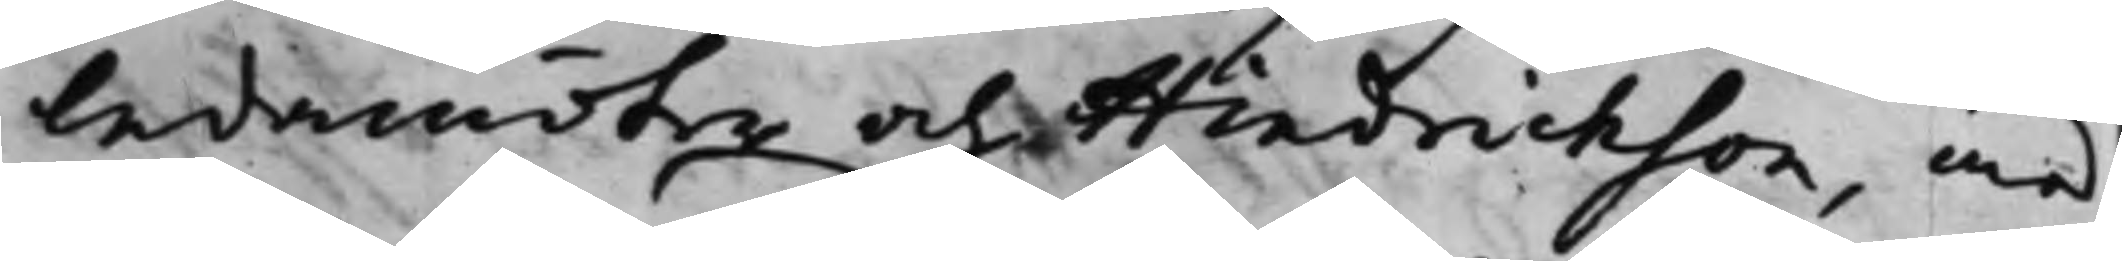ledamöter och Hindrichson, med
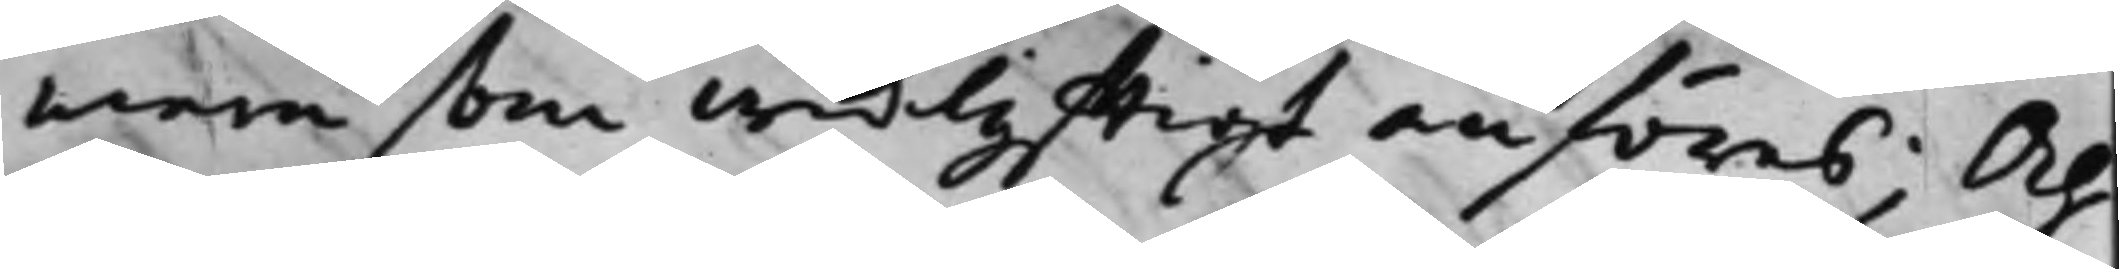mera som widlyfftigt anföres; Och
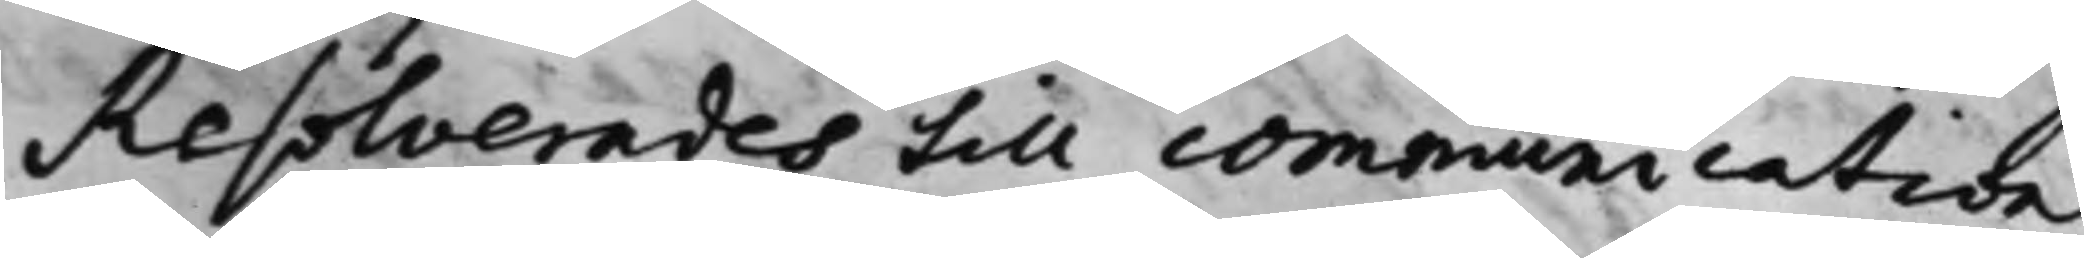Resolverades till communication
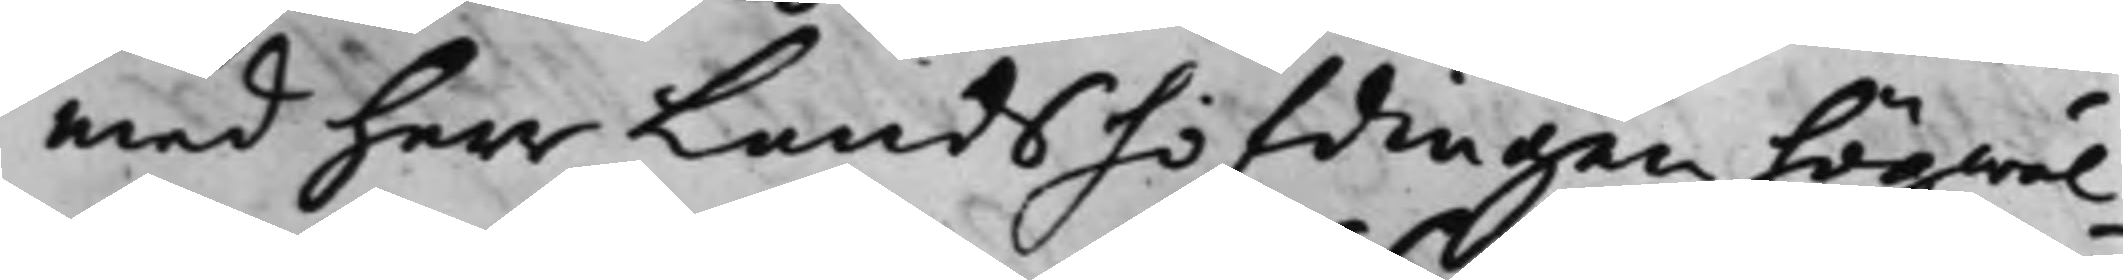med herr Landshöfdingen högwäl¬
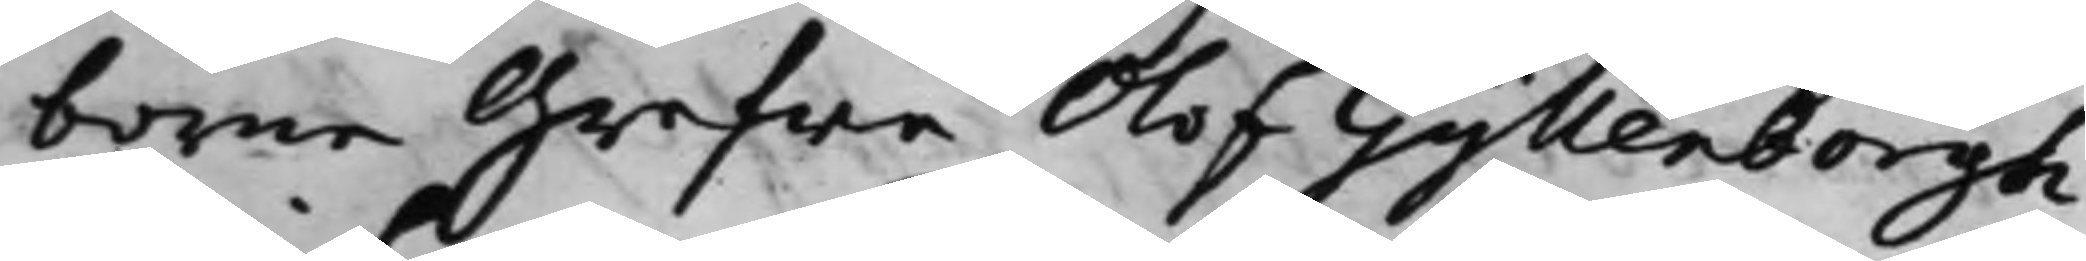borne Grefwe Olof Gyllenborgh
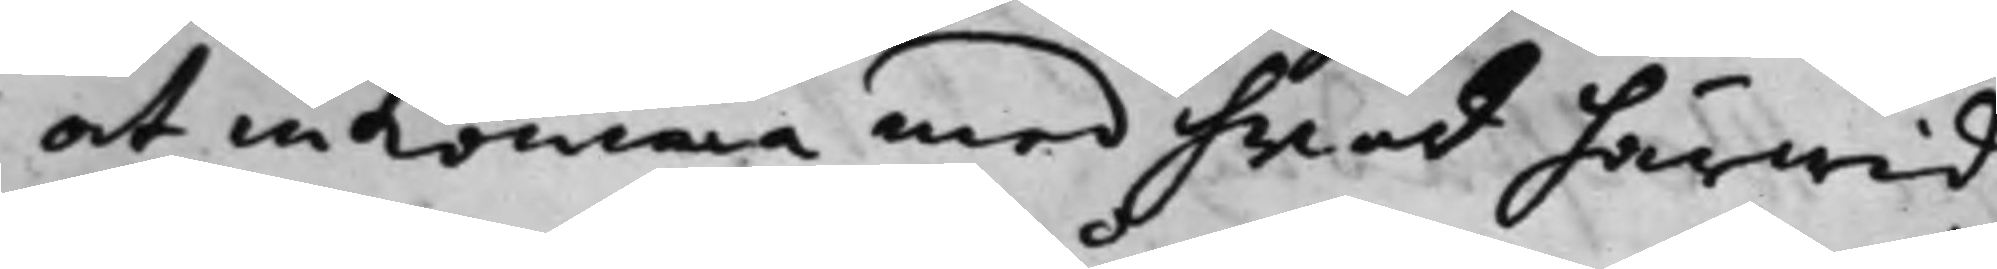at inkomma med hwad härwid
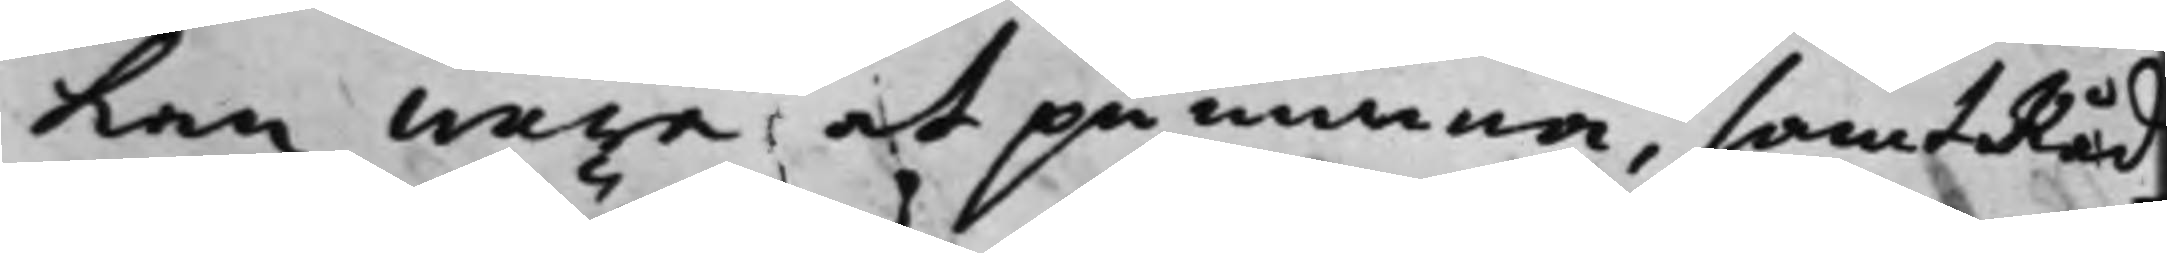kan wara at påminna, samt Råd¬
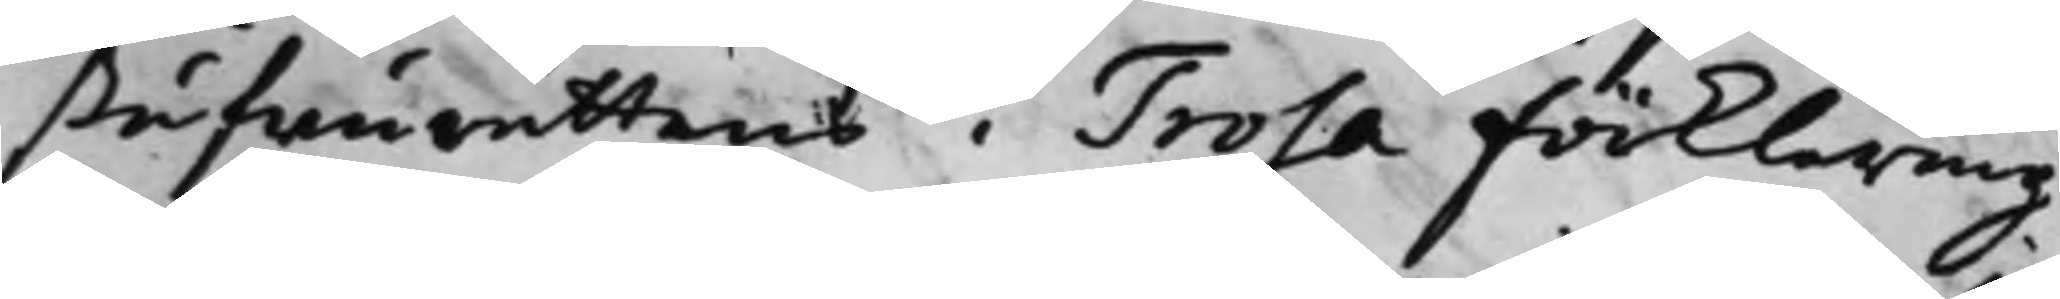stufwurättens i Trosa förklaring
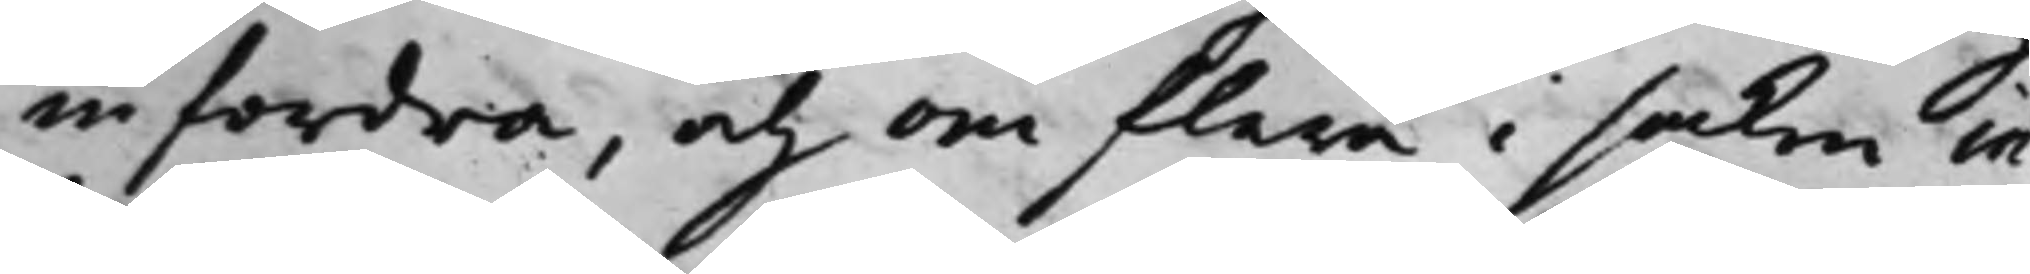infordra, och om flera i saken in¬
